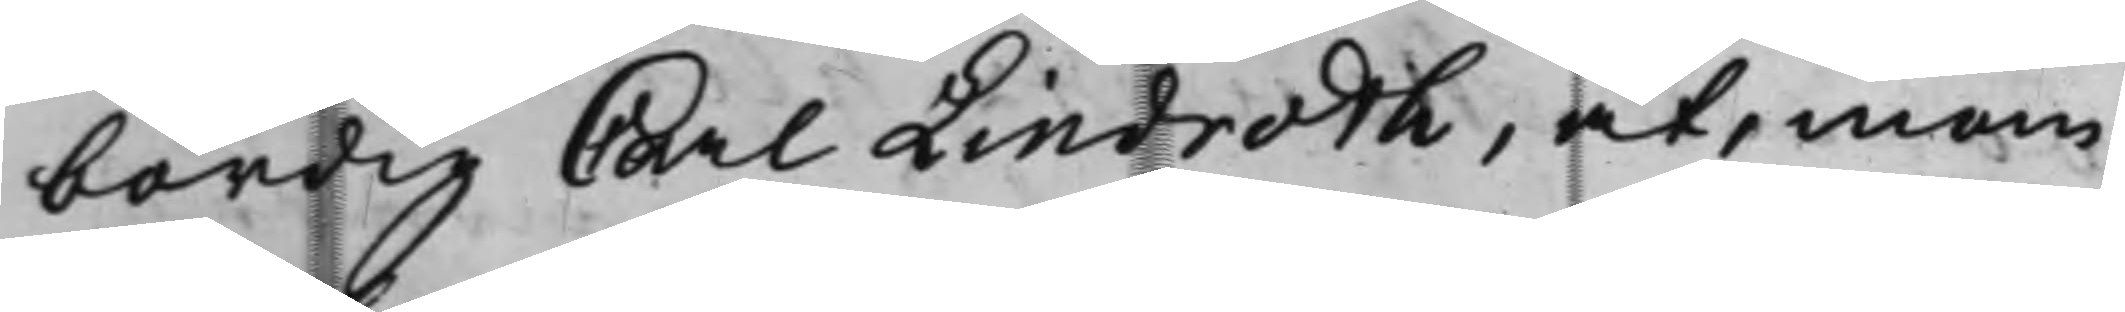bördig Carl Lindroth, at, inom
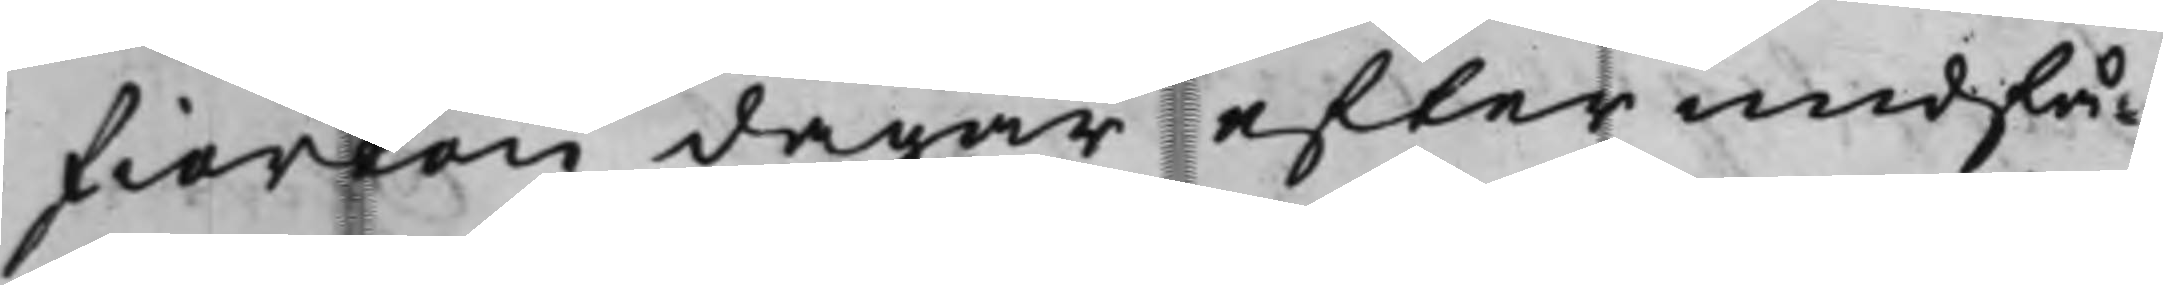fierkon dagar efter undfå¬
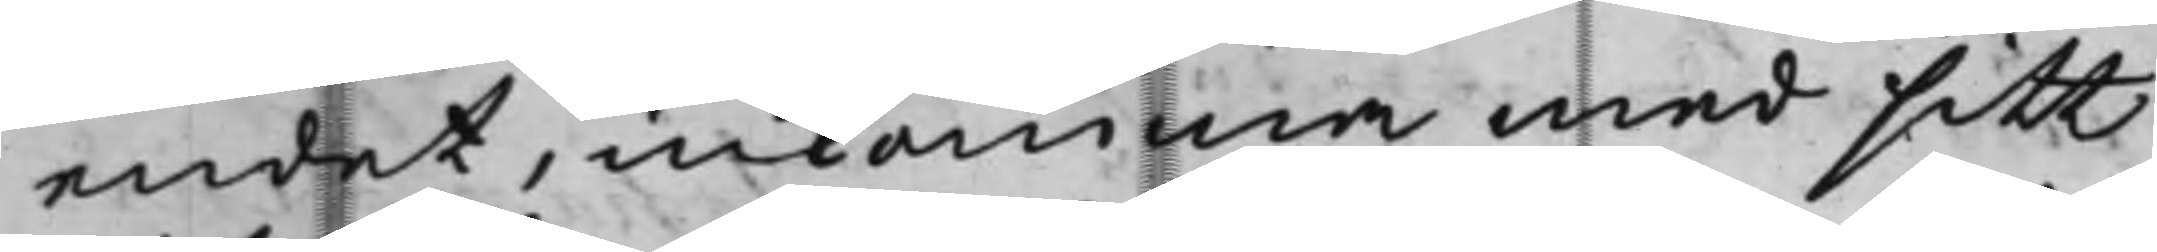endet, inkomma med sitt
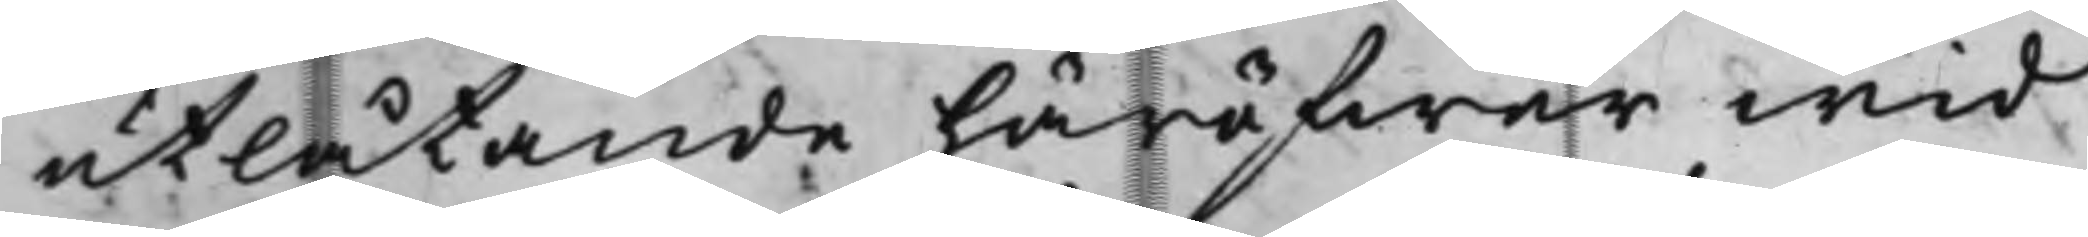utlåtande häröfwer wid
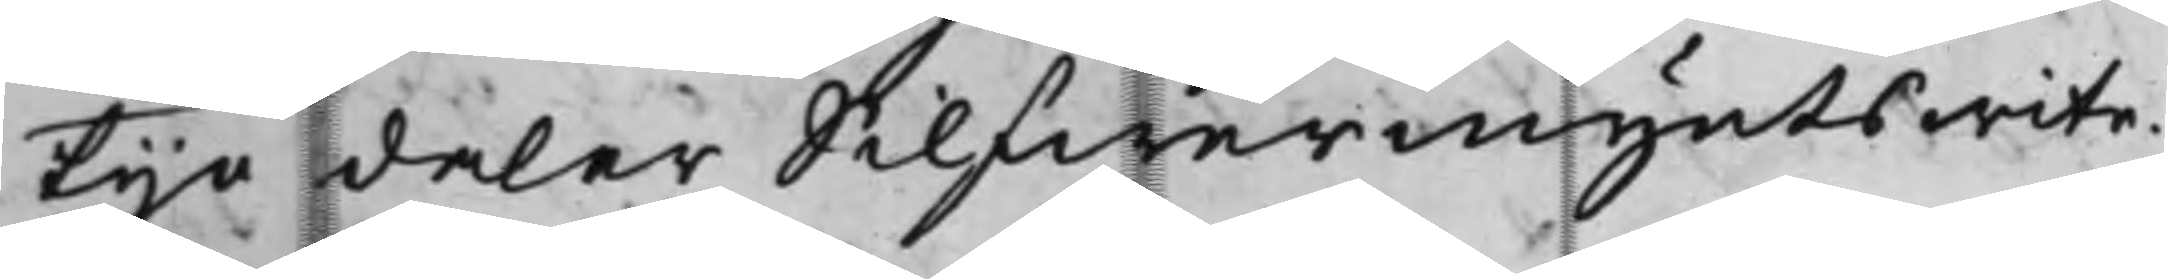tijo daler Silfwermynts witz,
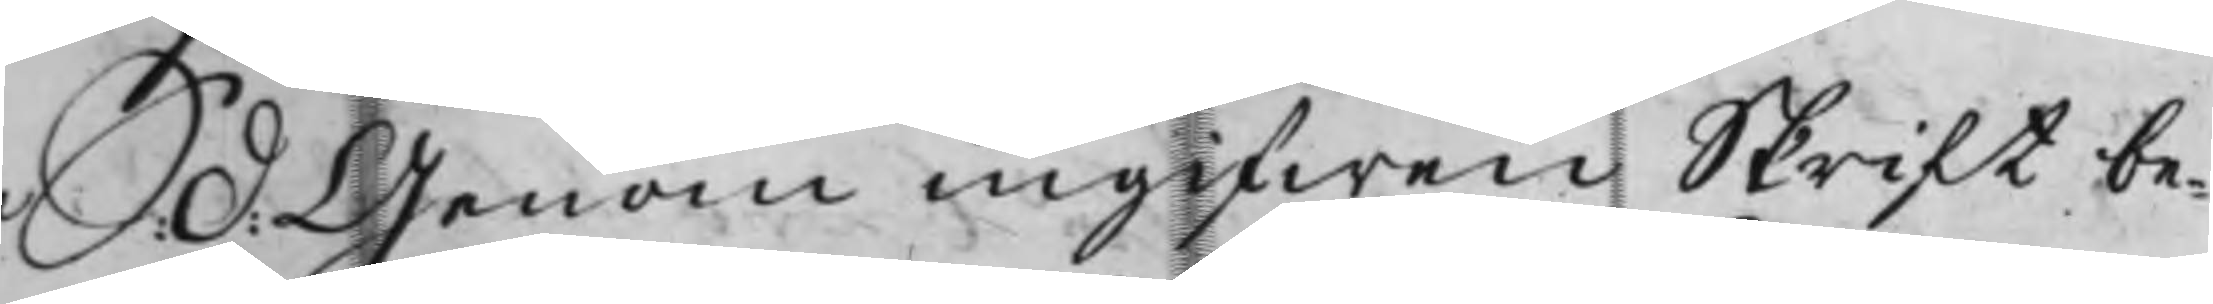Arca Catharina  D: denom ingifwen Skrift be¬ 
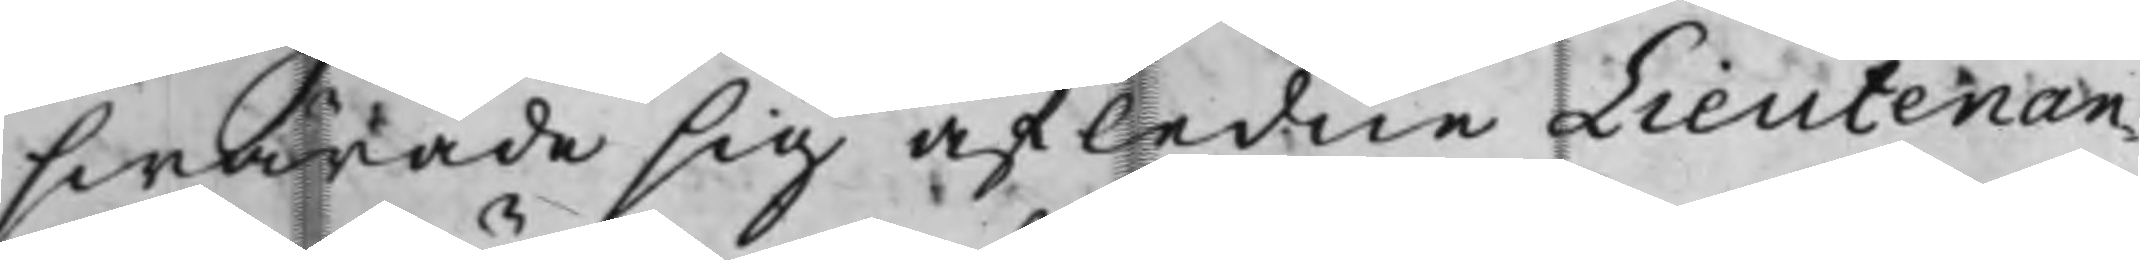swarade sig afledne Lieutenan¬
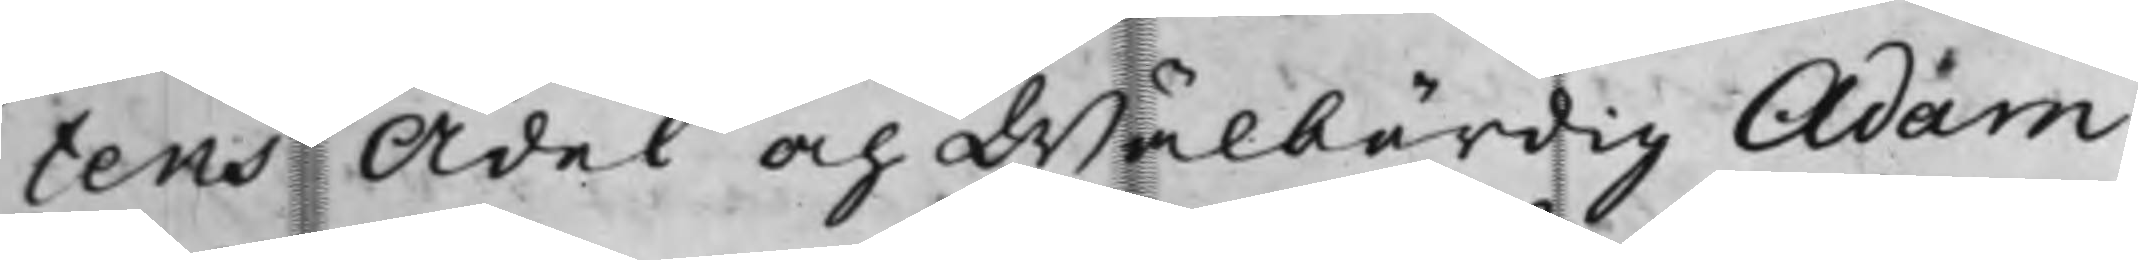tens Ädel och Wälbärdig Adam
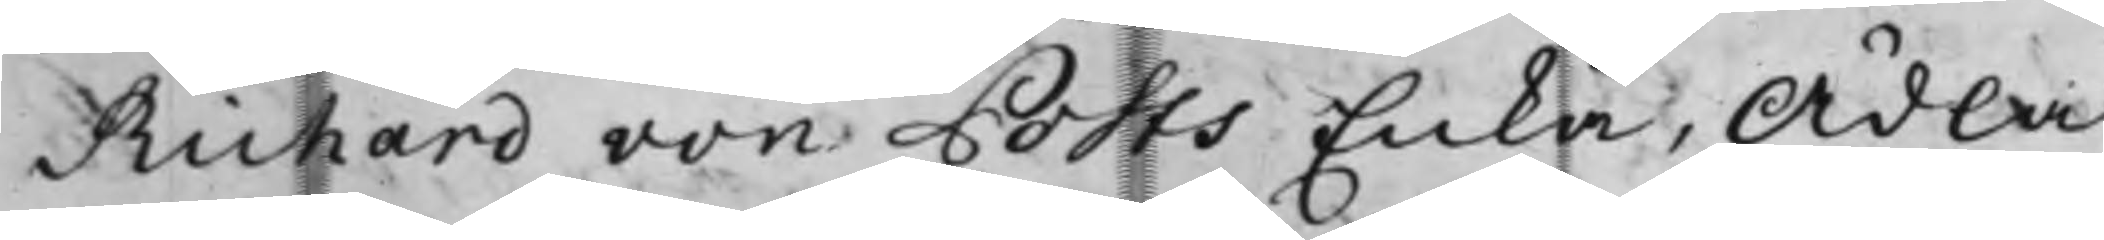Richard von Pots Enka, Ädla
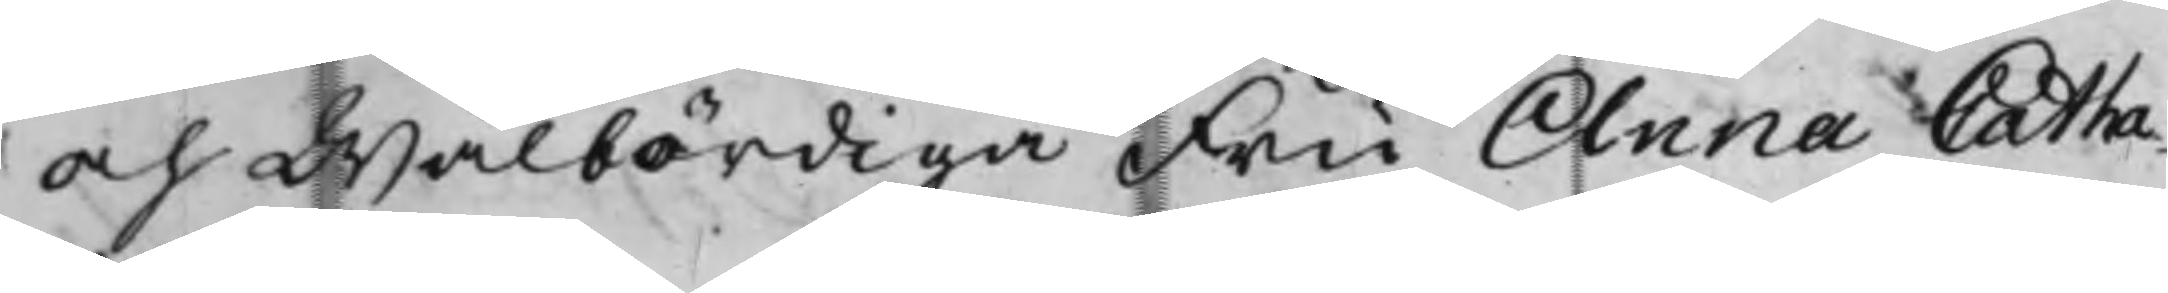och Wälbördiga Fru Anna Catha¬
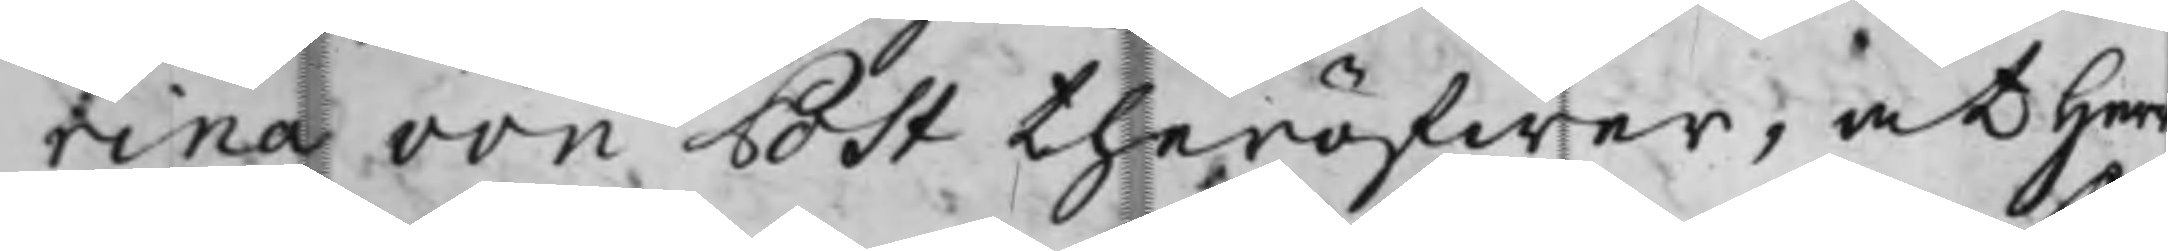rina von Pst theröfwer, at henwälborne Baron Nils Reuter¬
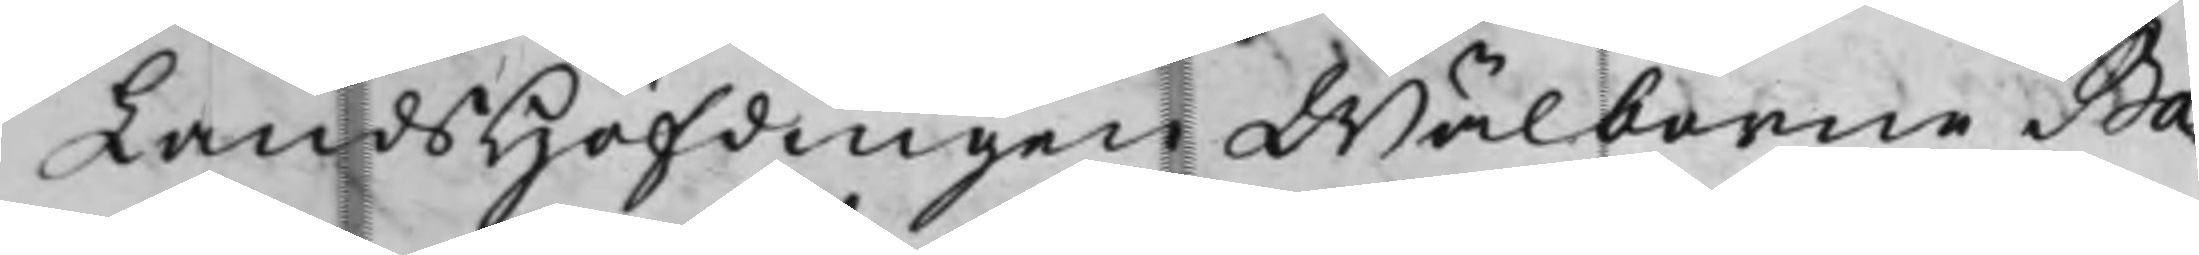LandsHöfdingen Wälborne Baholm, och Öfwer Commissarien
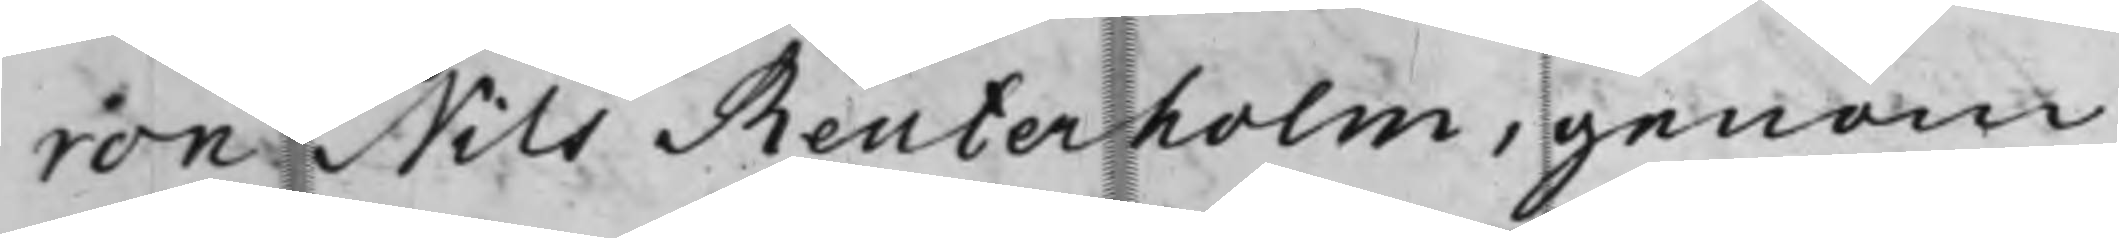ron Nils Beuterholm, genom
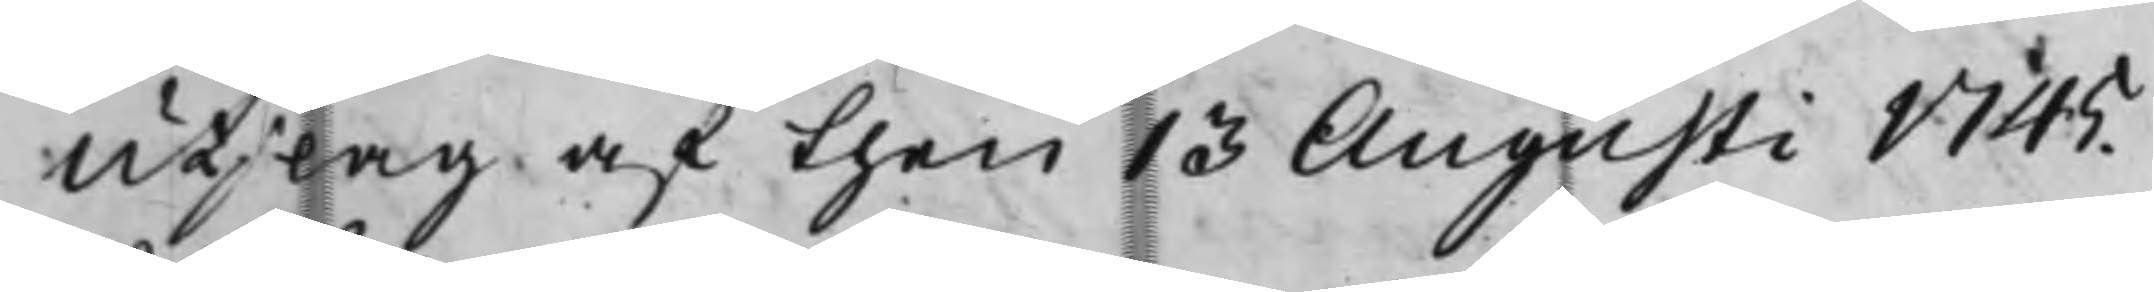Utslag af then 13 Augusti 1745.
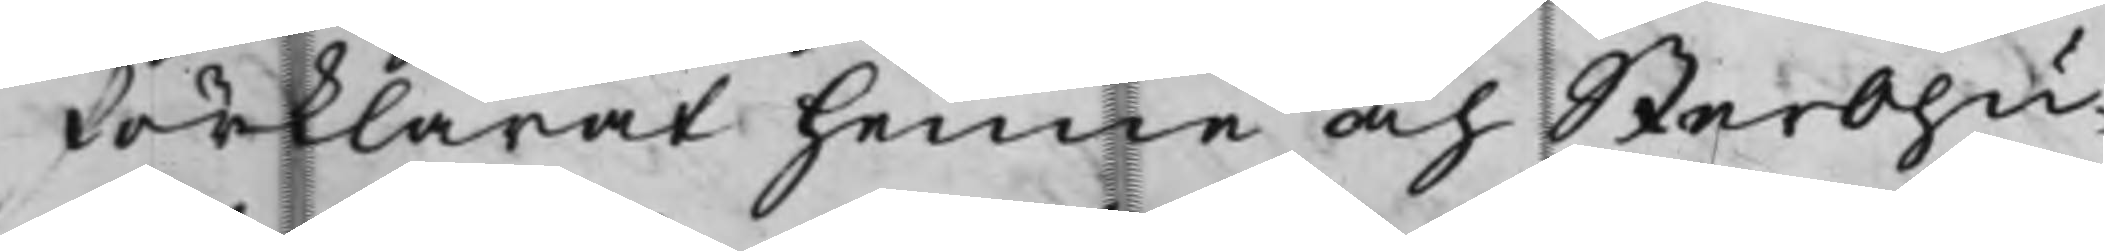förklarat henne och Sterbhu
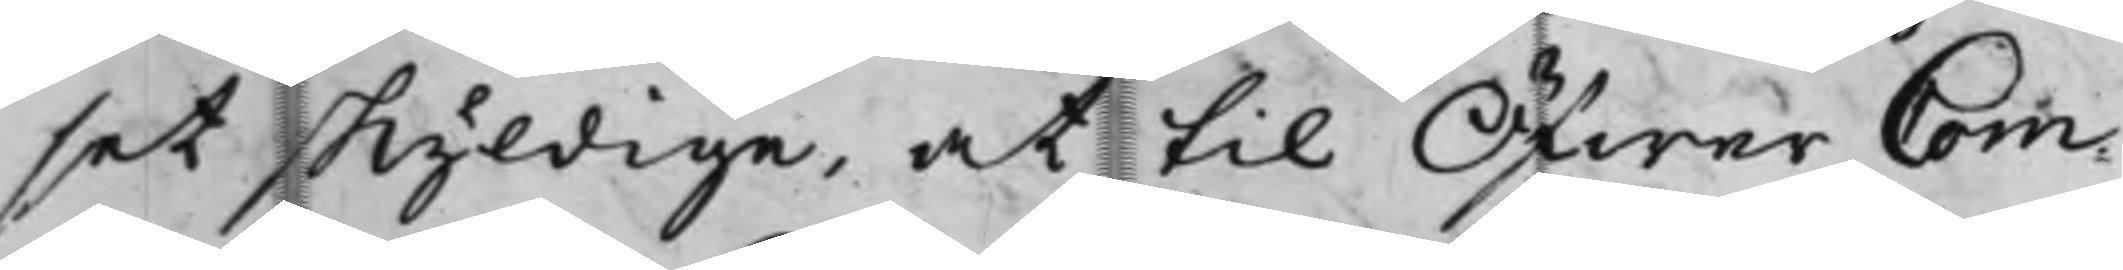set skyldige, at till Öfwer Com¬
